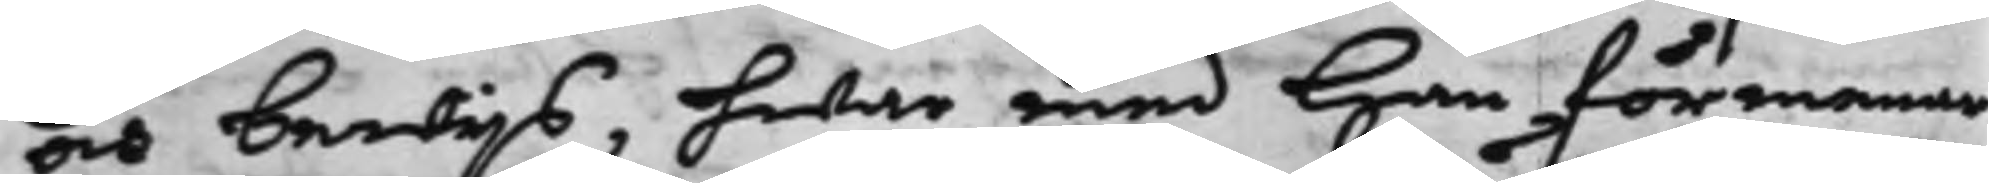och bewijs, hwar med han förmenar
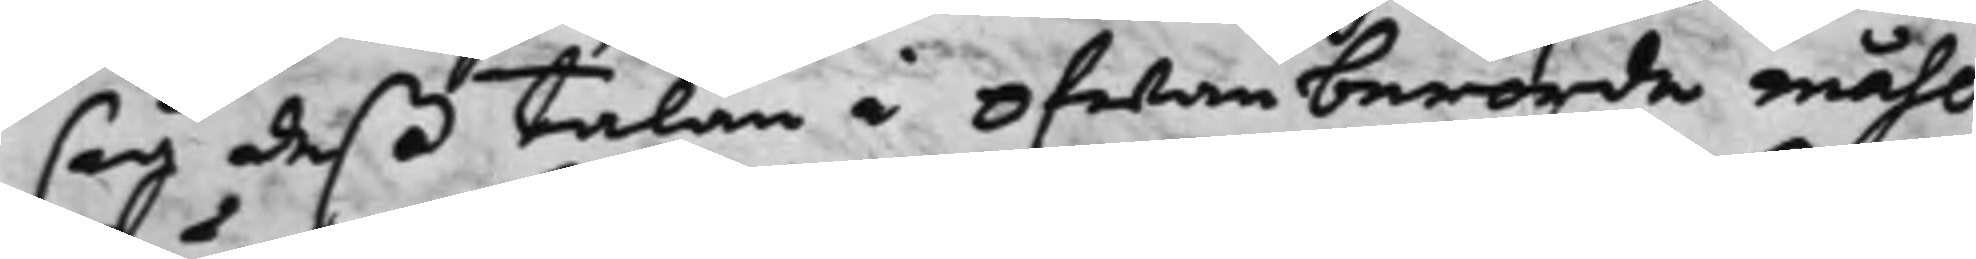sig deß talan i ofwanberörde måhl
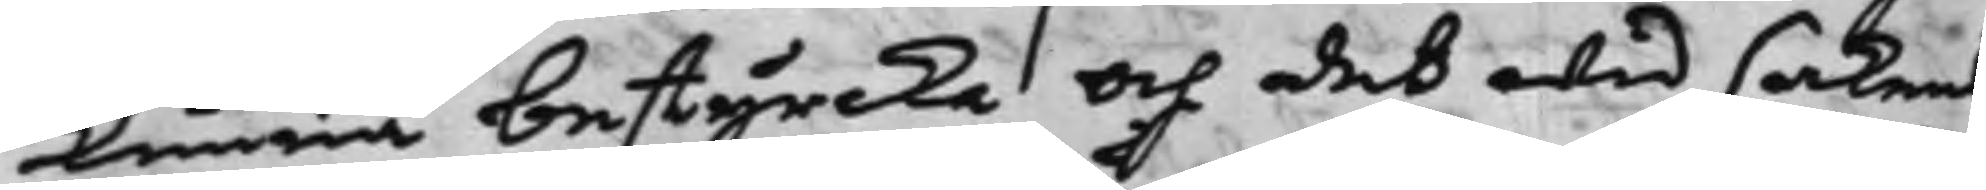kunna bestyrcka och det wid sakens
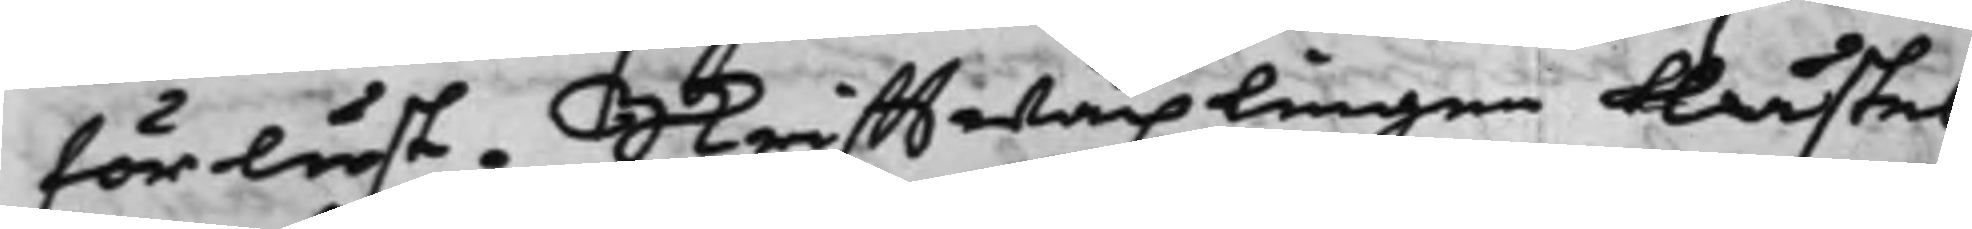förlust. Skrifftwäxlingen lästes
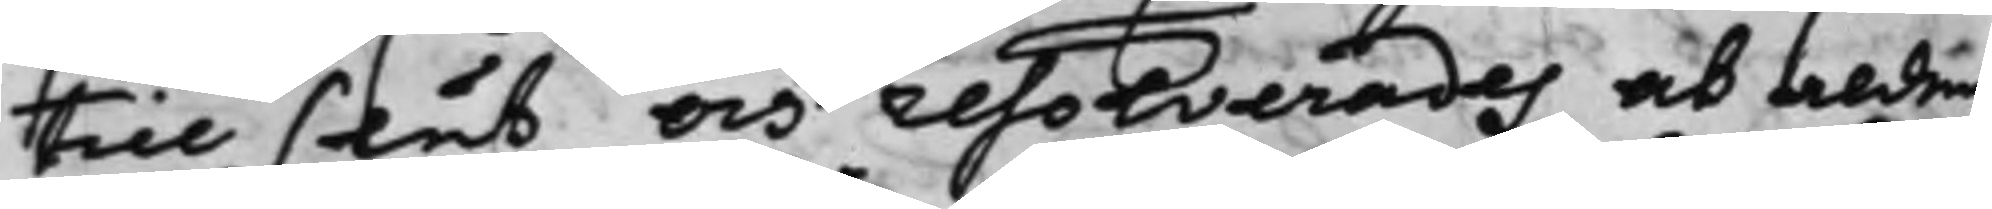till slut, och resolverades at alden¬
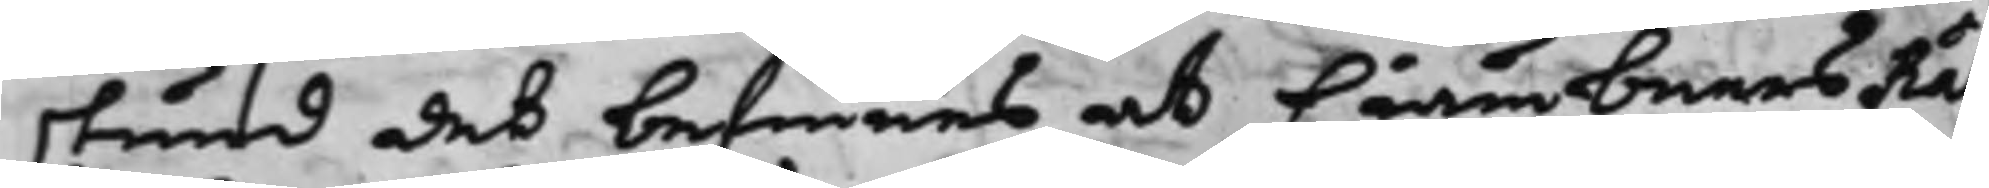stund det befinnes at CiämbnersRät¬
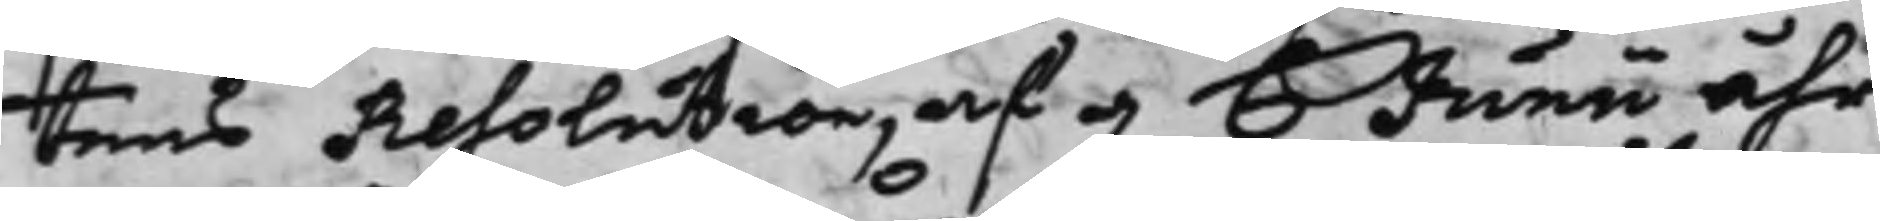tens Resolution, af 6 Junii åhr
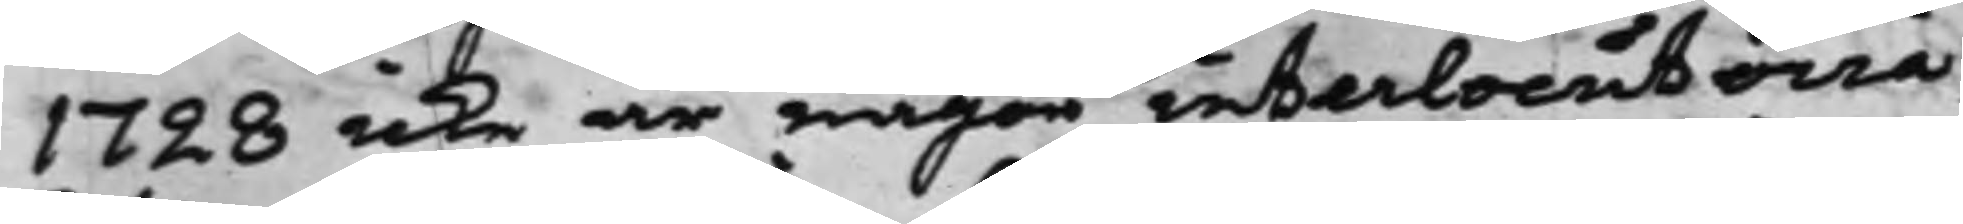1728 icke är någon interlocutoria
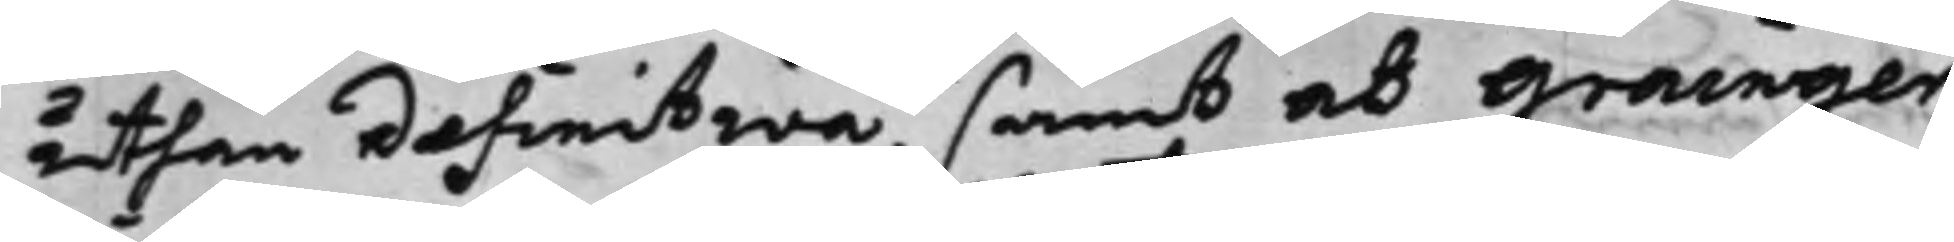uthan definitiva, samt at Grainger
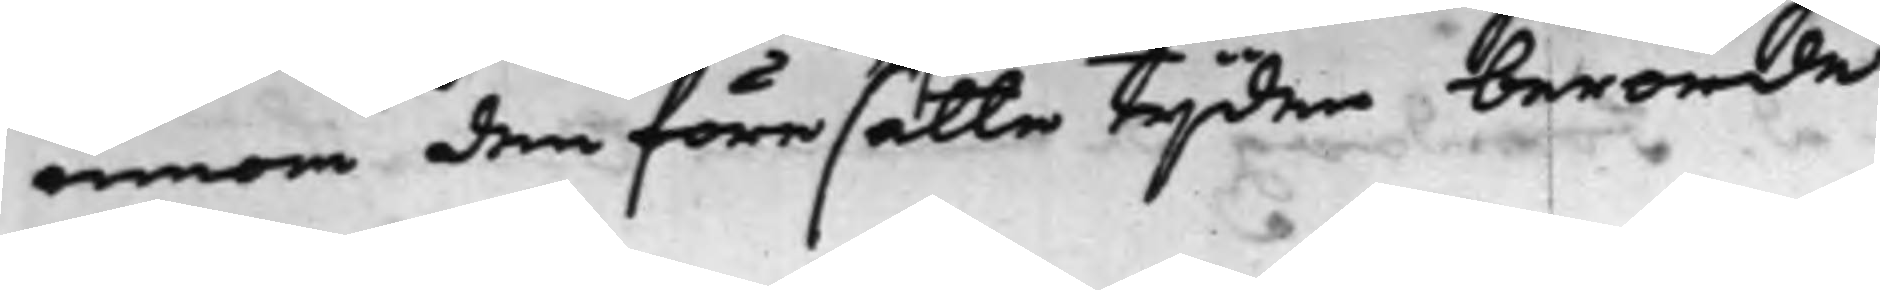innom den föresatte tijden berörde
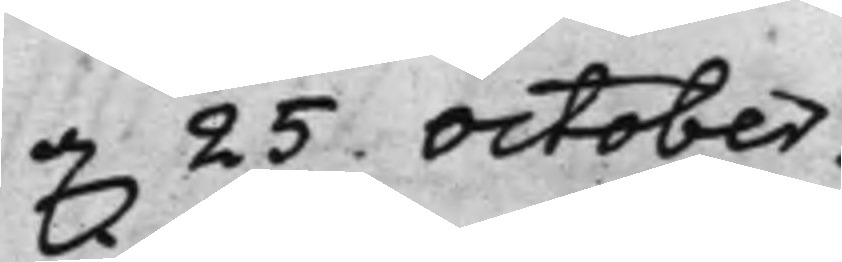d.25. October.
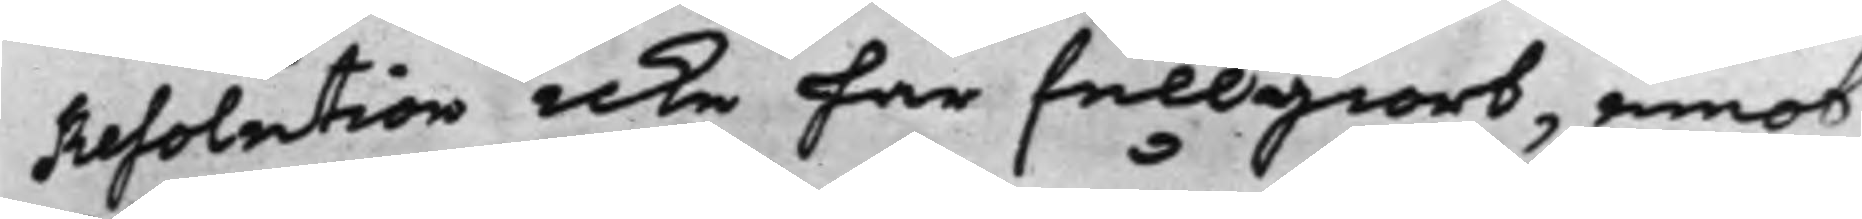Resolution icke har fullgiort, emot
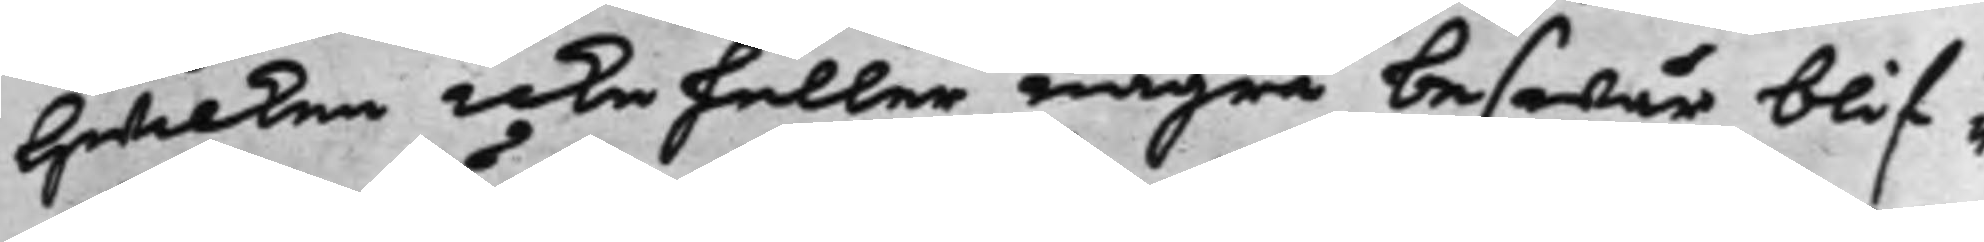hwilken icke heller några beswär blif¬
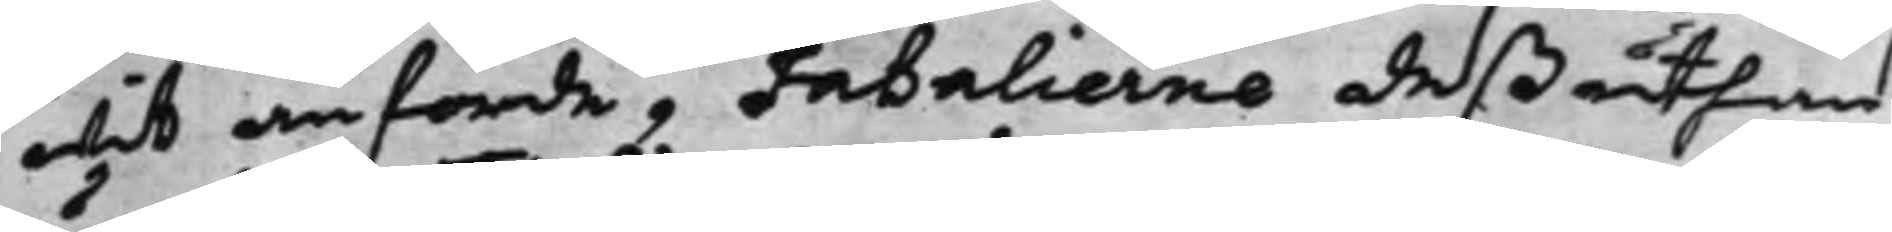wid anförde, Fatalierne deßuthom
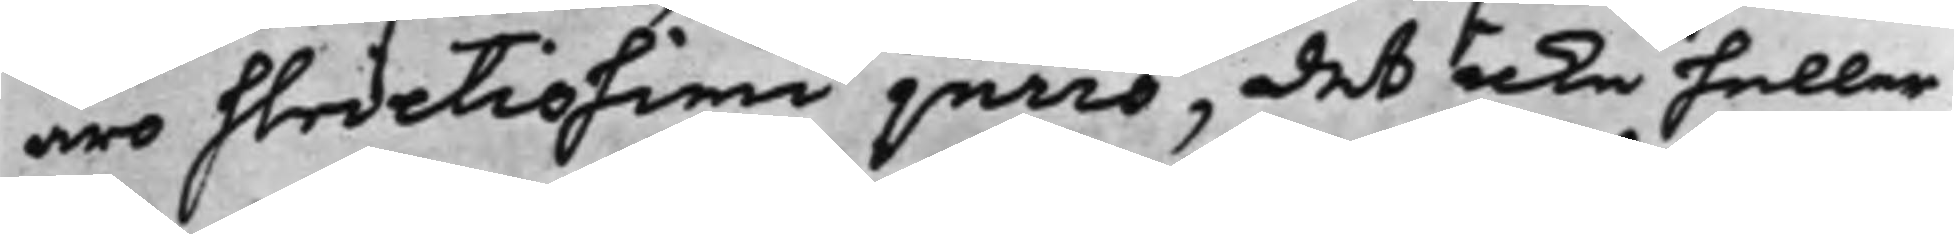äro slivetissimi jurio, det icke heller
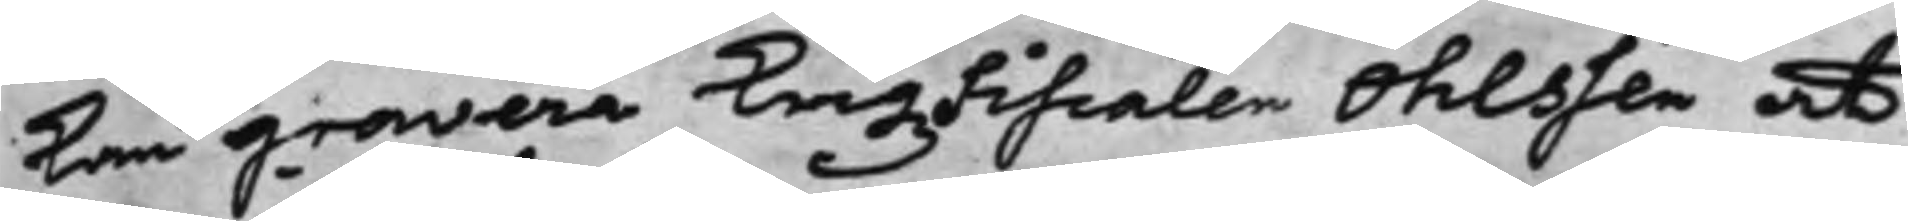kan gravera KrigsFiscalen Ohlssen, at
